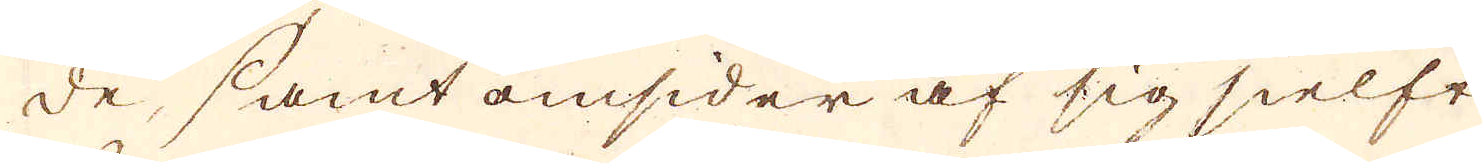de, samt omsider af sig sielft
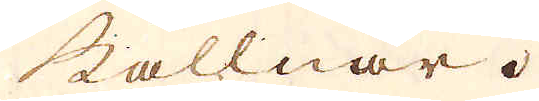kallnar.
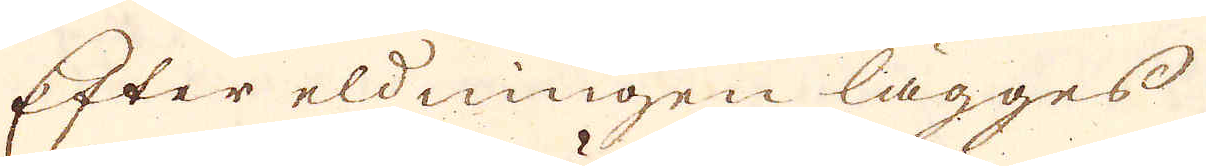Efter eldningen lägges
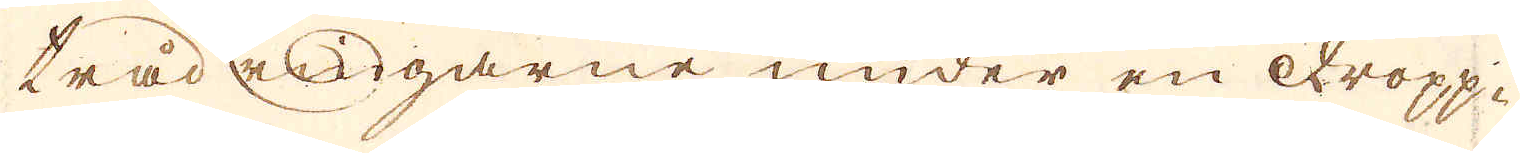trådringarne under en dropp-
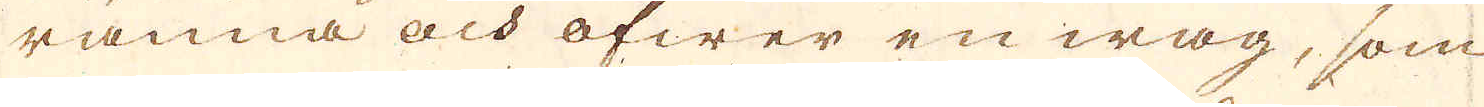ränna och öfwer en wåg, som
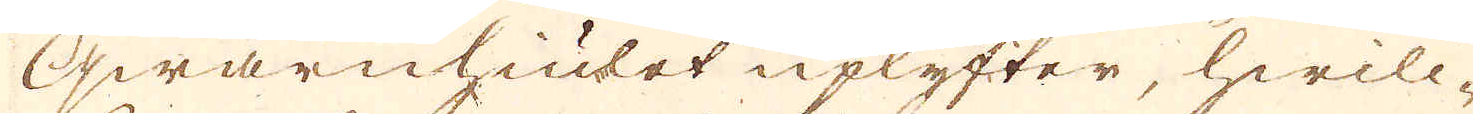qwarnhiulet uplyfter, hwilc-
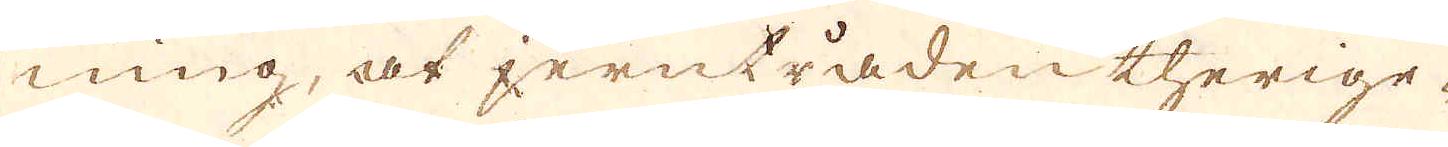ning, at jerntråden therige-
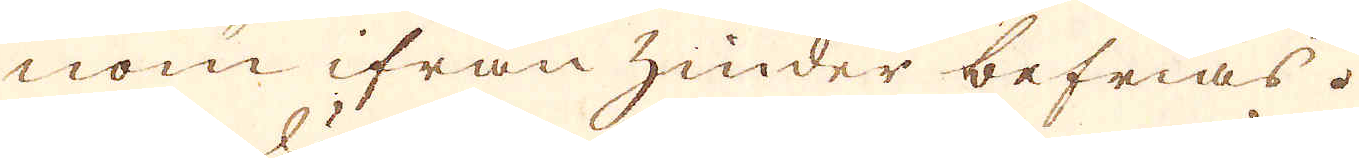nom ifrån hinder befrias.
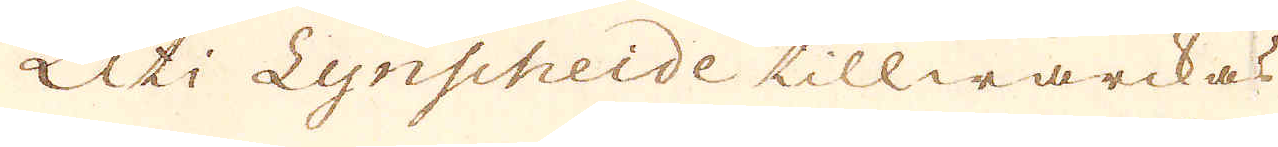Uti Lynscheide tillwärckas
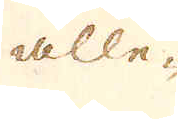alle-
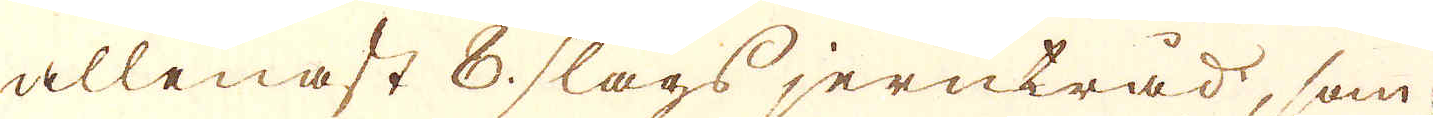allenast 8 slags jernträd, som
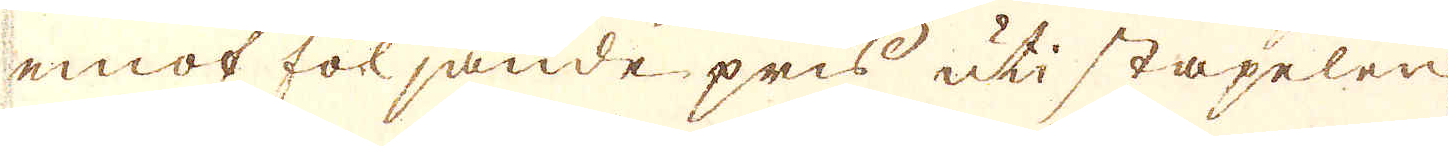emot följande pris uti stäpelen
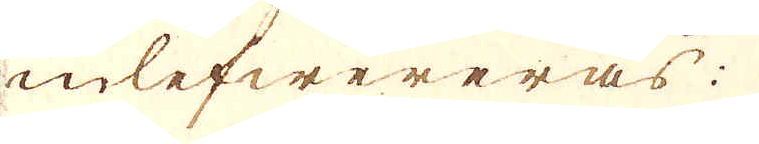inlefwereras:
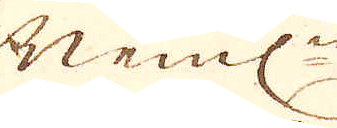Neml:n
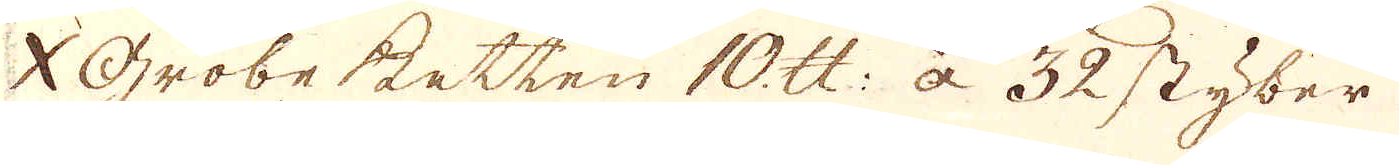X Grobe Betten 10 skålpund: à 32 styber
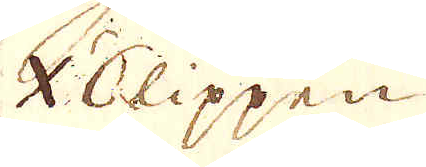X Slippen
